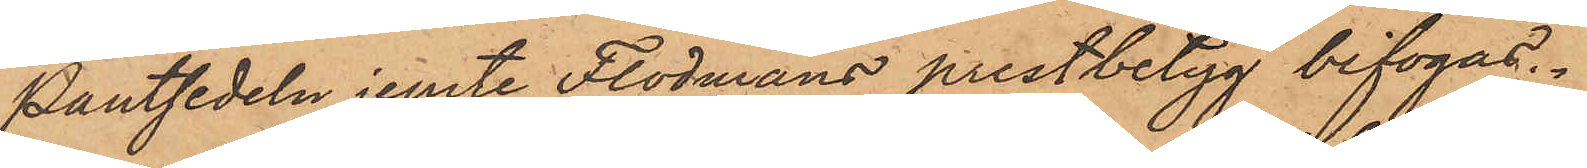Pantsedeln jemte Flodmans prestbetyg bifogas.
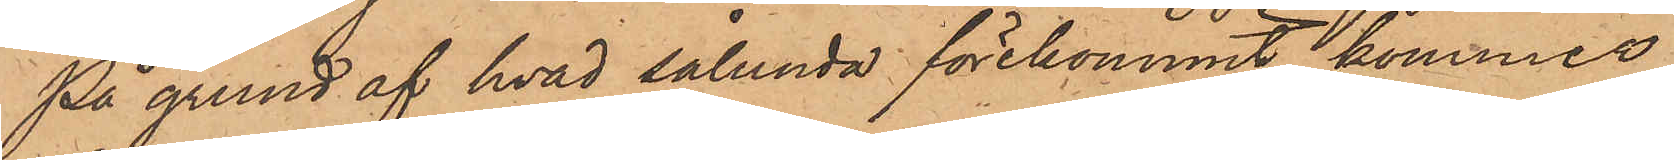På grund af hvad sålunda förekommit, kommer
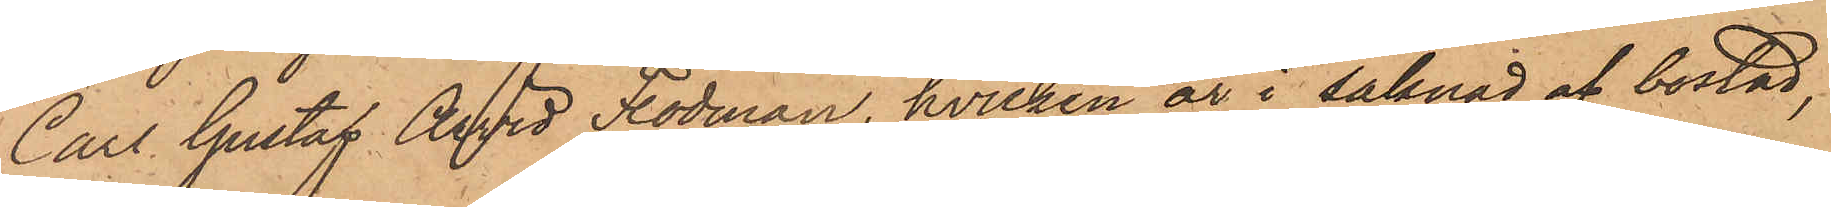Carl Gustaf Arvid Flodman, hvilken är i saknad af bostad,
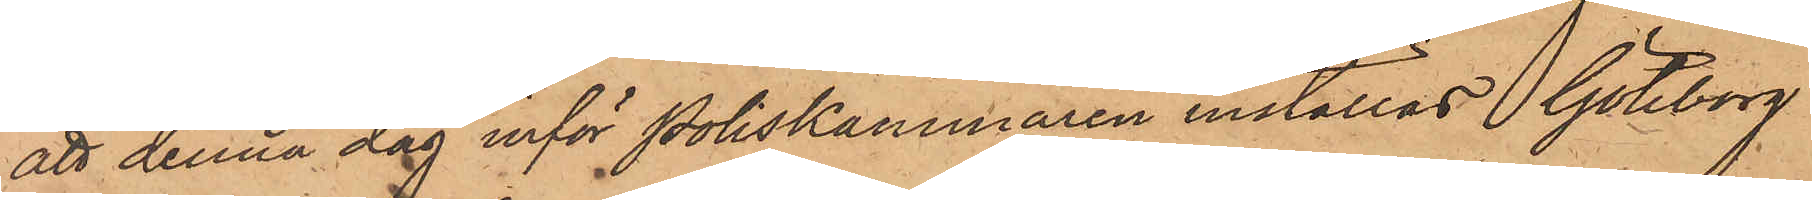att denna dag inför Poliskammaren inställas. Göteborg
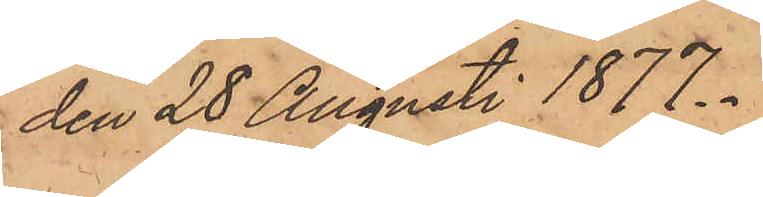den 28 Augusti 1877.
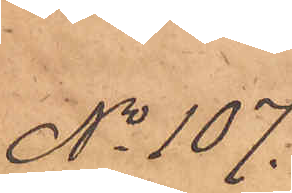No 107.
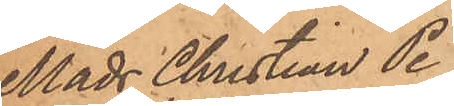Mads Christian Pe¬
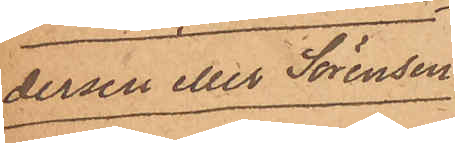dersen eller Sörensen
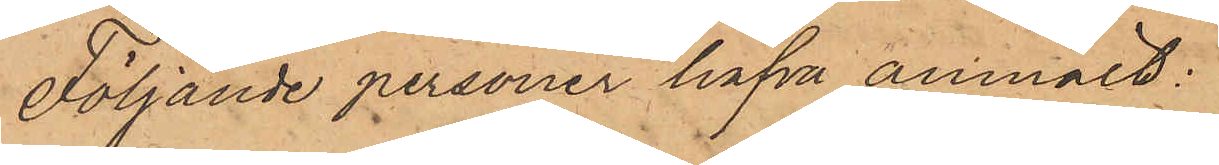Följande personer hafva anmält:
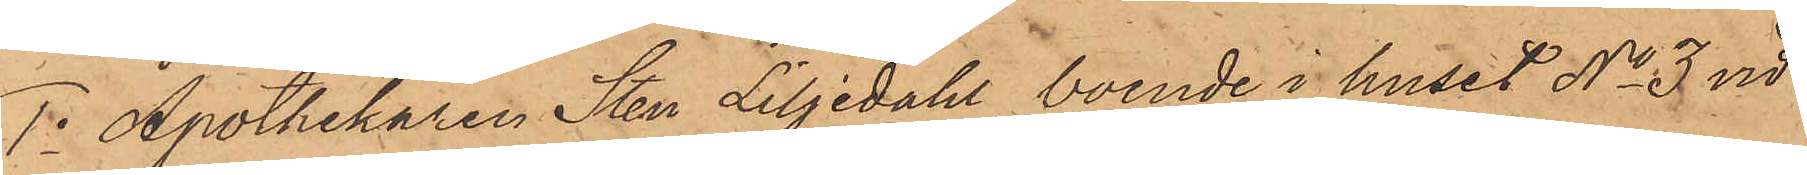1o Apothekaren Sten Liljedahl, boende i huset No 3 vid
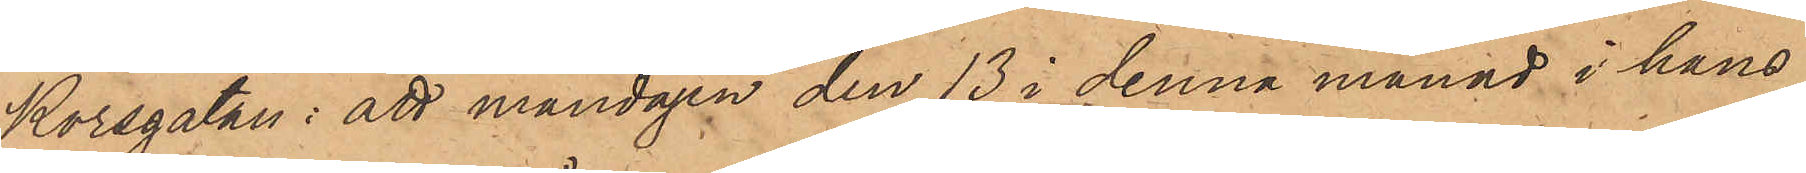Korsgatan: att måndagen den 13 i denna månad i hans
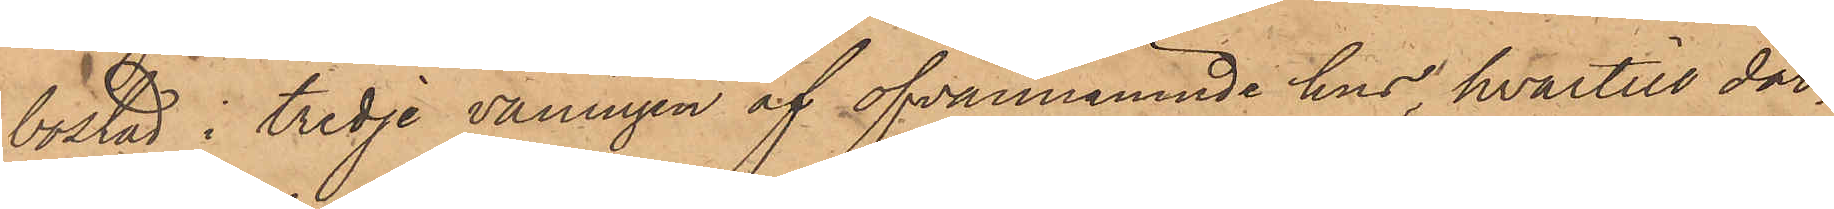bostad i tredje våningen af ofvannämnde hus, hvartill dör¬
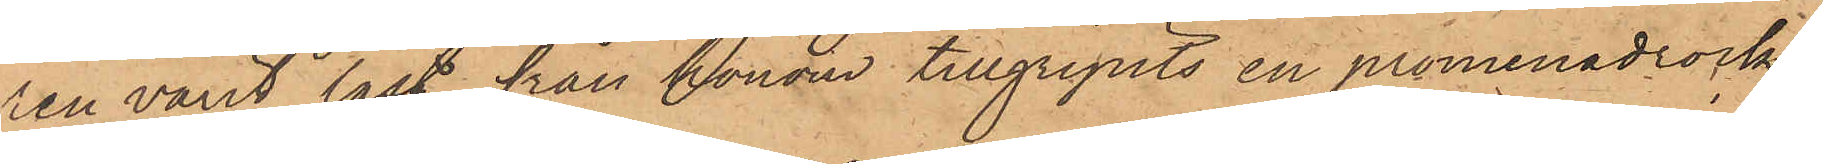ren varit låst, från honom tillgripits en promenadrock
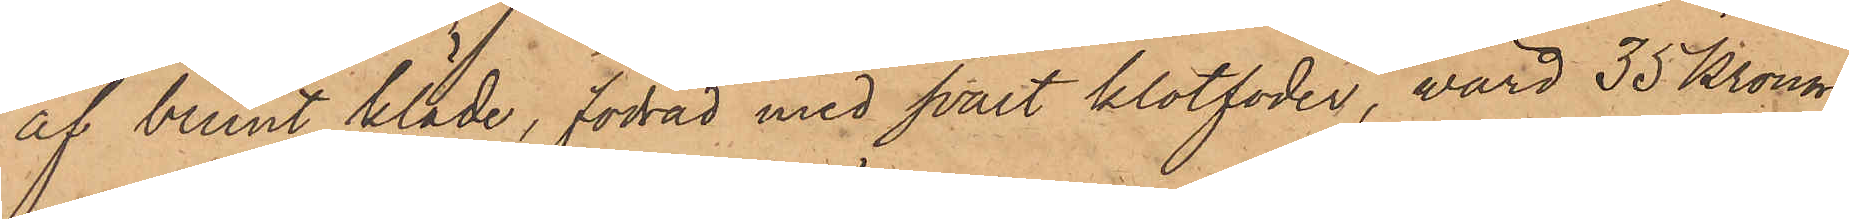af brunt kläde, fodrad med svart klotfoder, värd 35 Kronor
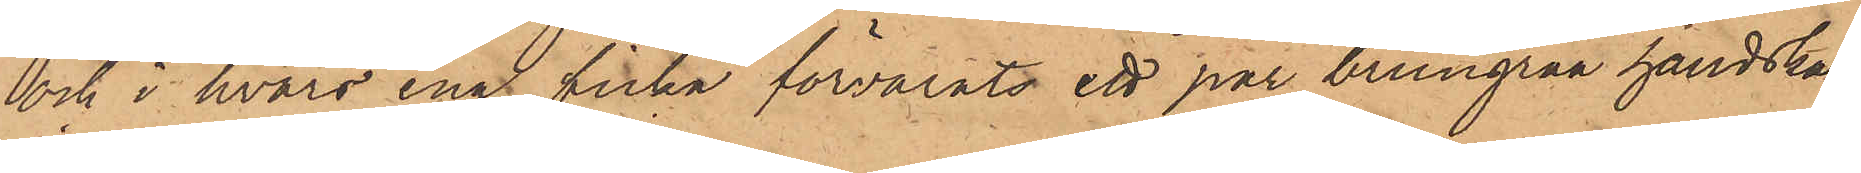och i hvars ena ficka förvarats ett par brungrå handskar;
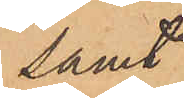samt
